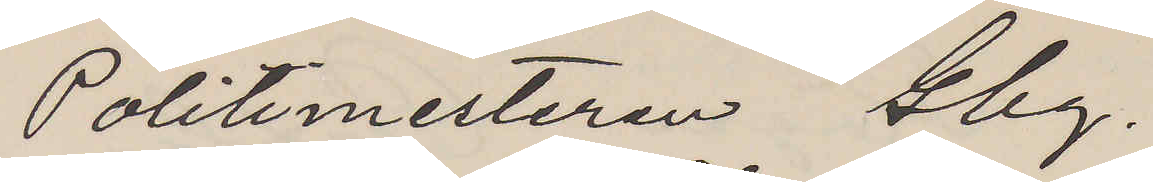Politimesteren Gbg.
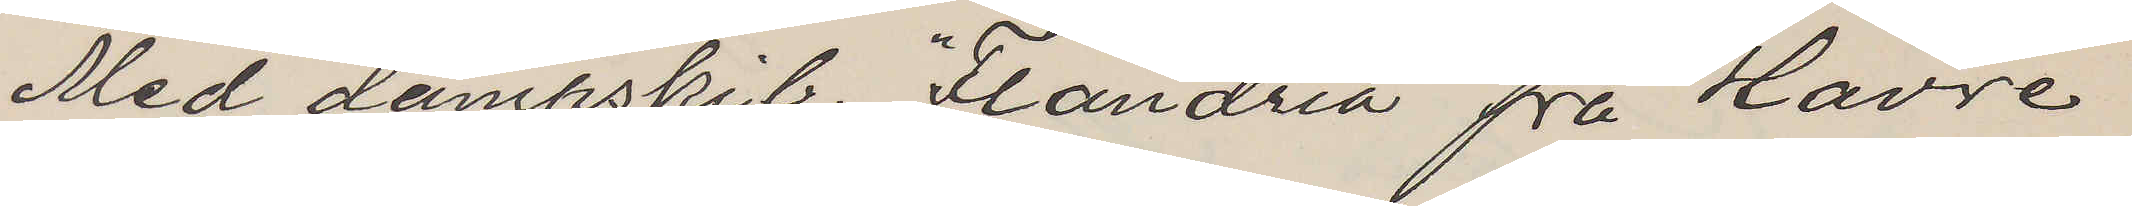Med dampskib. "Flandria" fra Havre
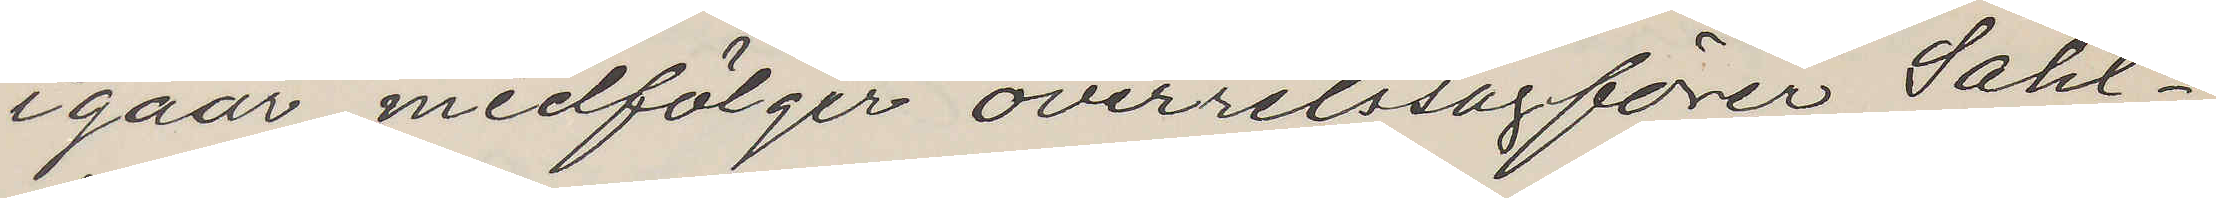igaar medfölger overretssagförer Sahl¬
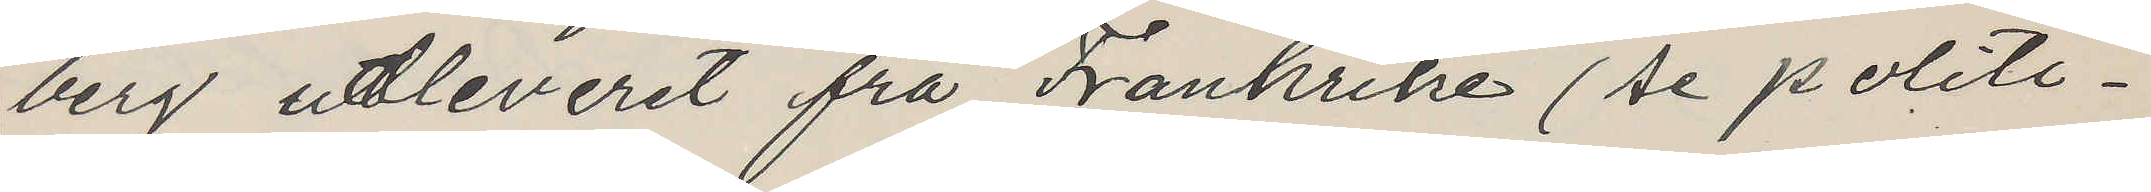berg utleveret fra Frankrike (se politi¬
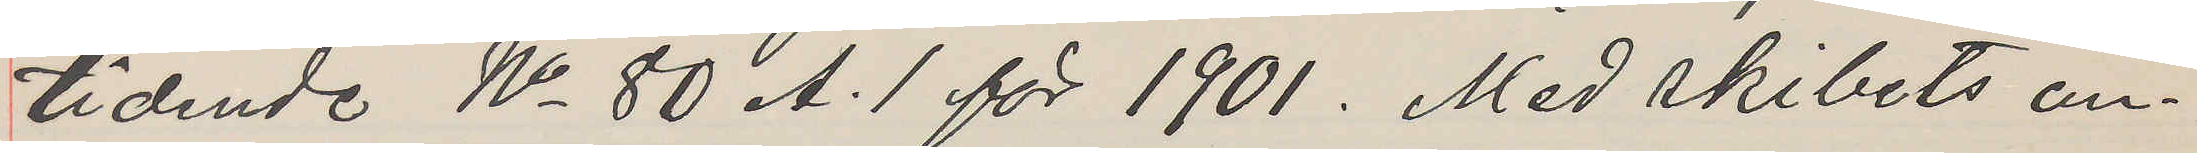tidende No 80 A.1 för 1901. Med skibets an¬
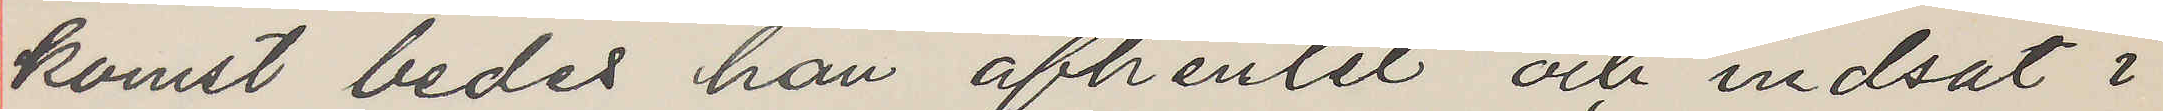komst bedes han afhemtet och indsat i
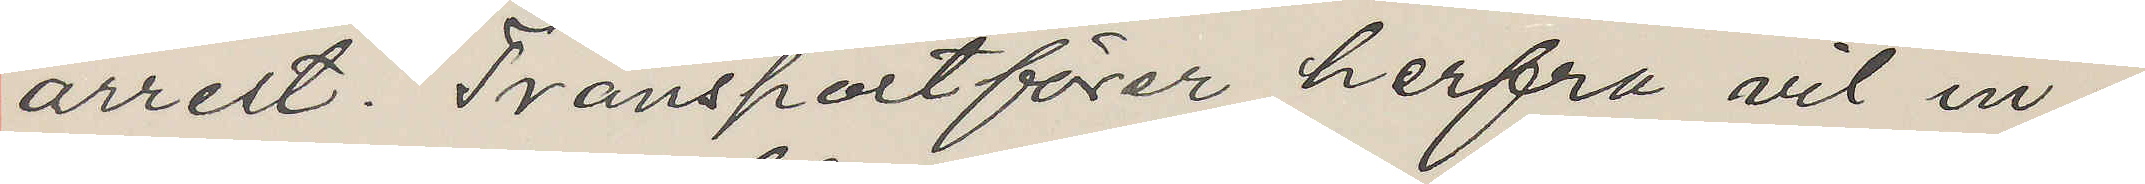arrest. Transportförer herfa vil in¬
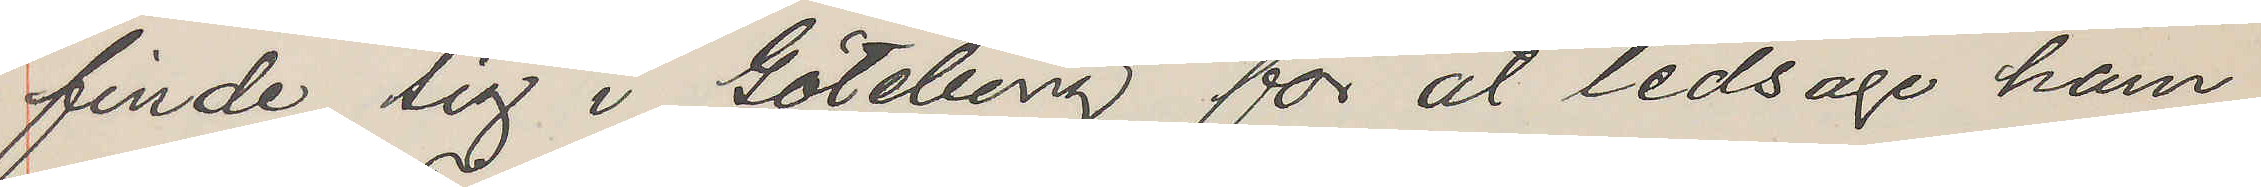finde sig i Göteborg for at ledsage ham
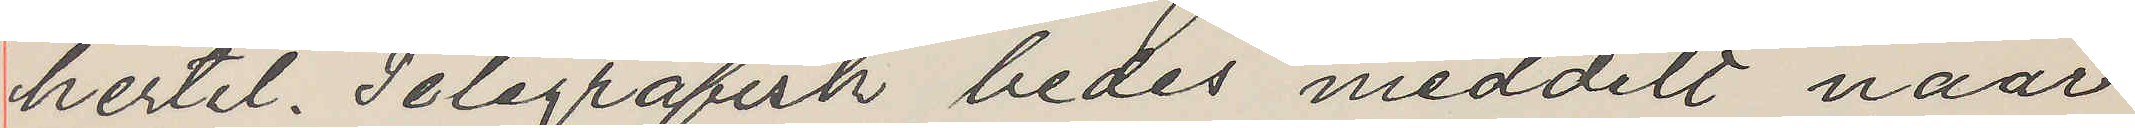hertil. Telegrafisk bedes meddelt naar
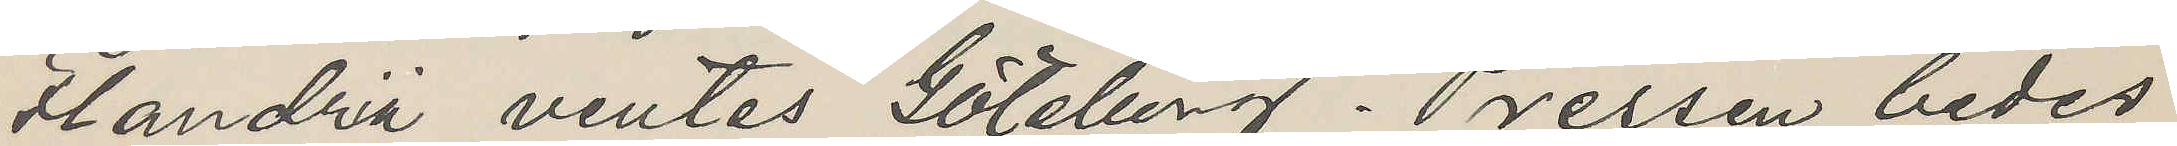Flandria ventes Göteborg. Pressen bedes
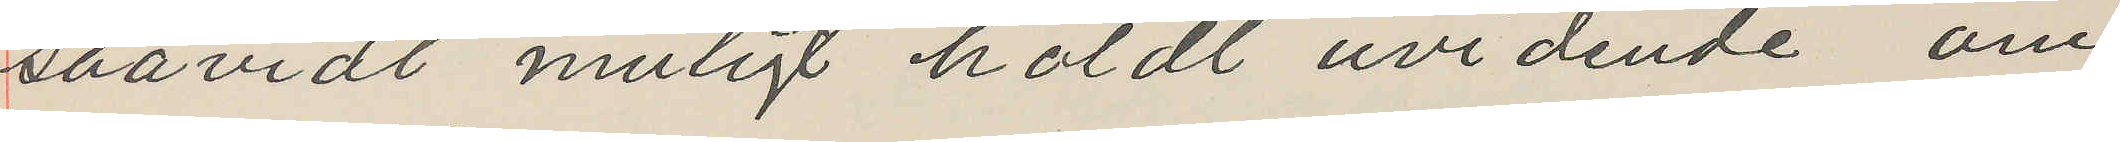saavidt muligt holdt uvidende om
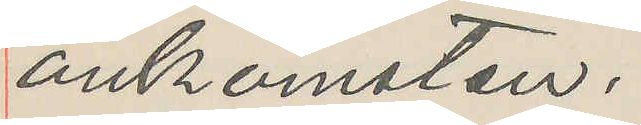ankomsten.
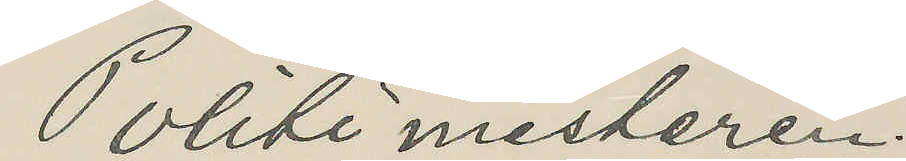Politi mesteren.
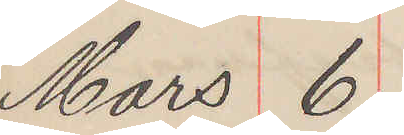Mars 6
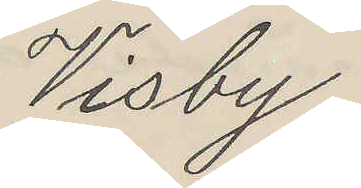Visby.
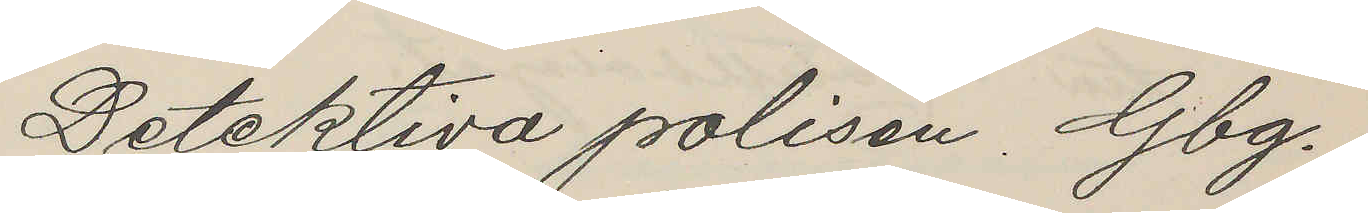Detektiva polisen Gbg.
